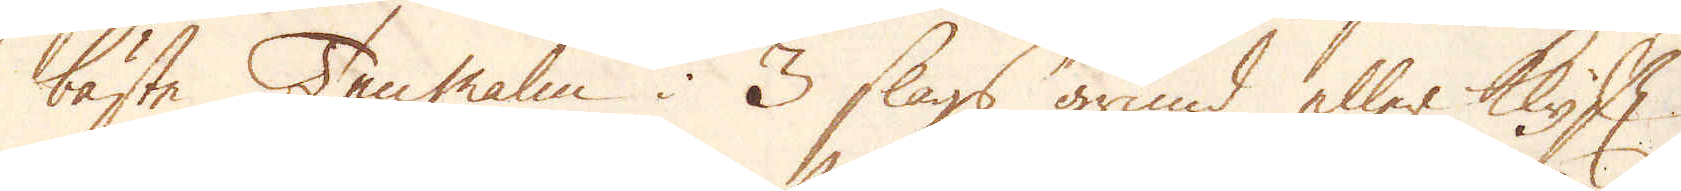bäste Ten malm i 3 slags grund eller klyft
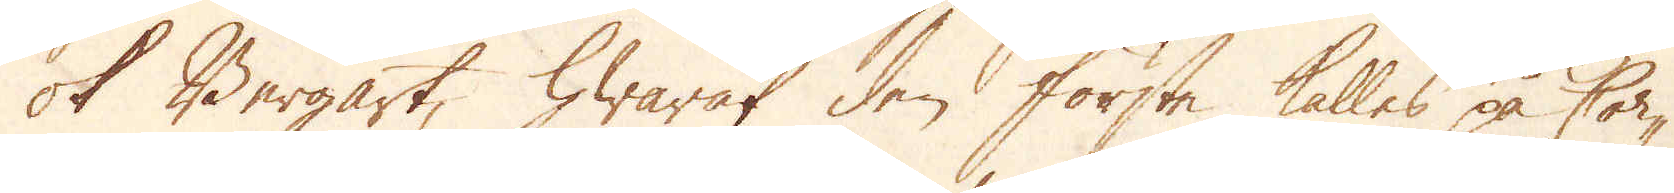ok Bergart, hwaraf den första kalles på Cor-
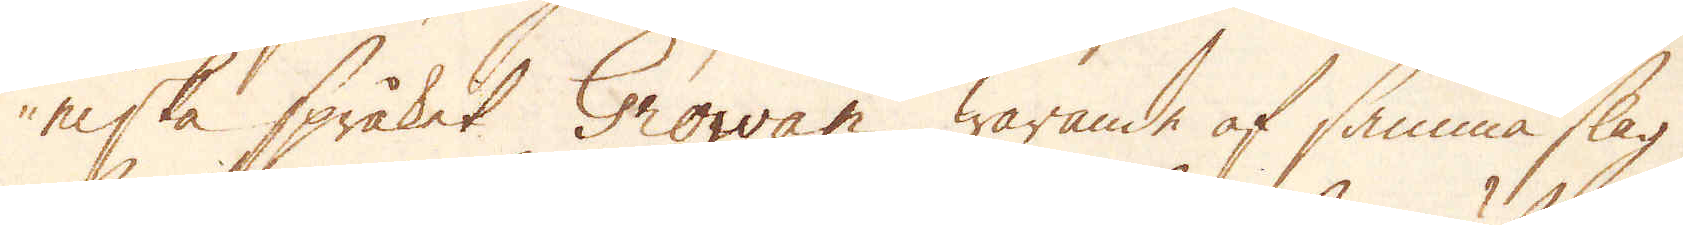niska språket Growan, warande af samma slag
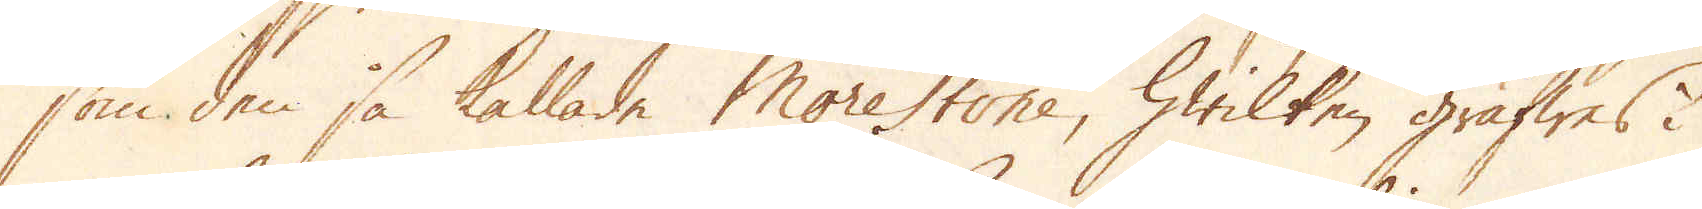som den så kallade Morestone, hwilken gräfwes i
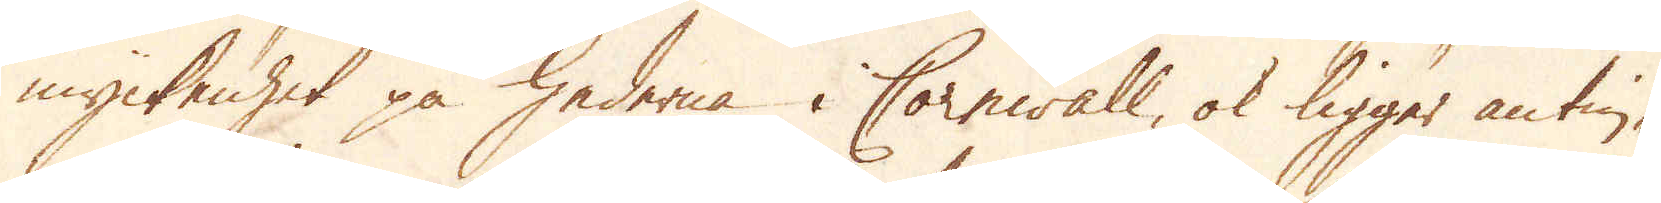myckenhet på hederna i Cornwall, ok ligger antin-
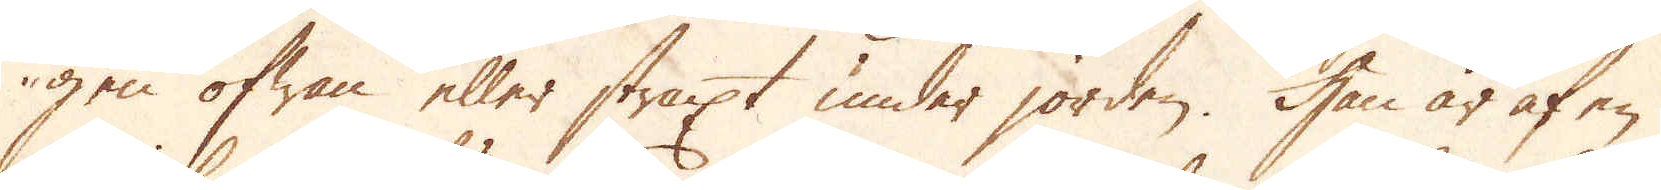gen ofwan eller straxt under jorden. Han är af en
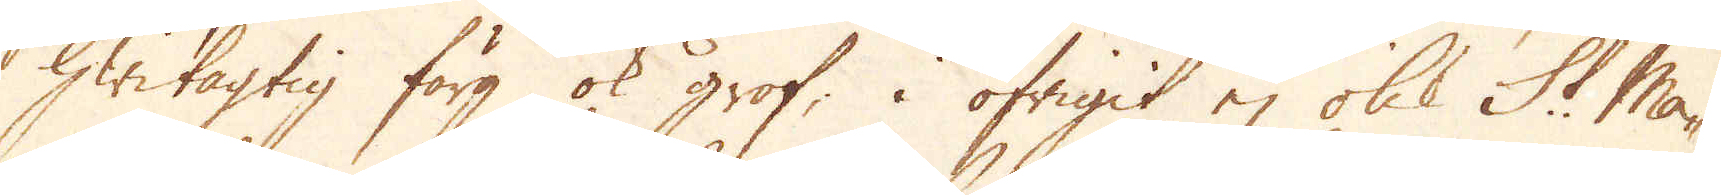hwitagtig färg ok grof; i öfrigit ej olik St Ma-
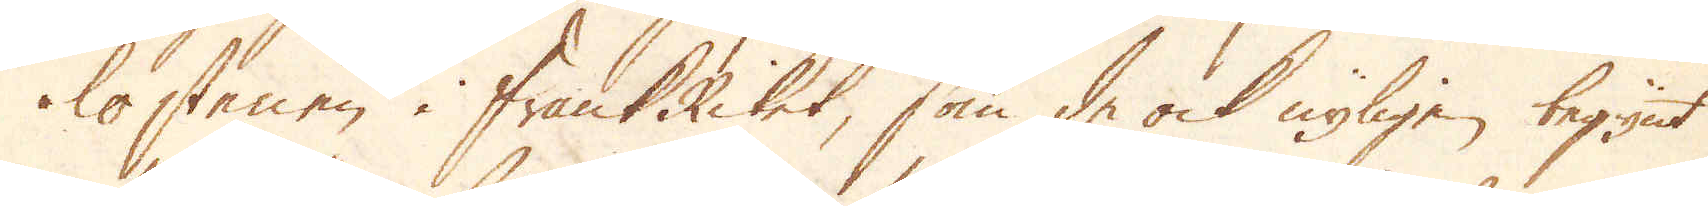lostenen i FrankRiket, som de ock nyligen begynt
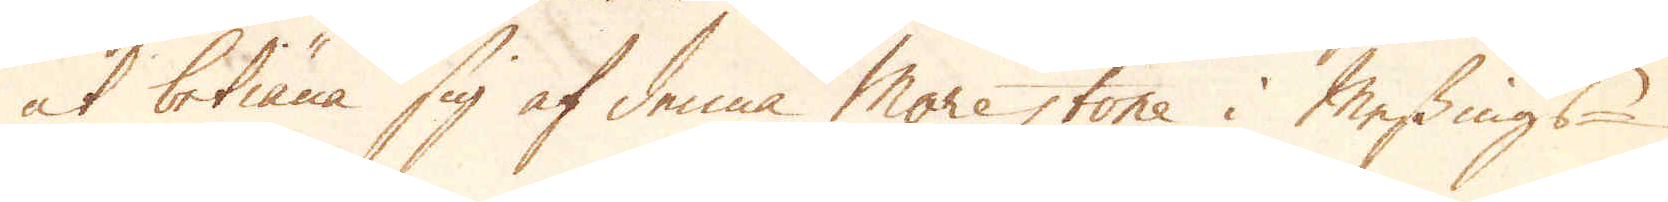at betiäna sig af denna Morestone i Messings-
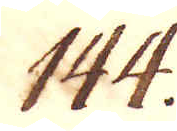144.
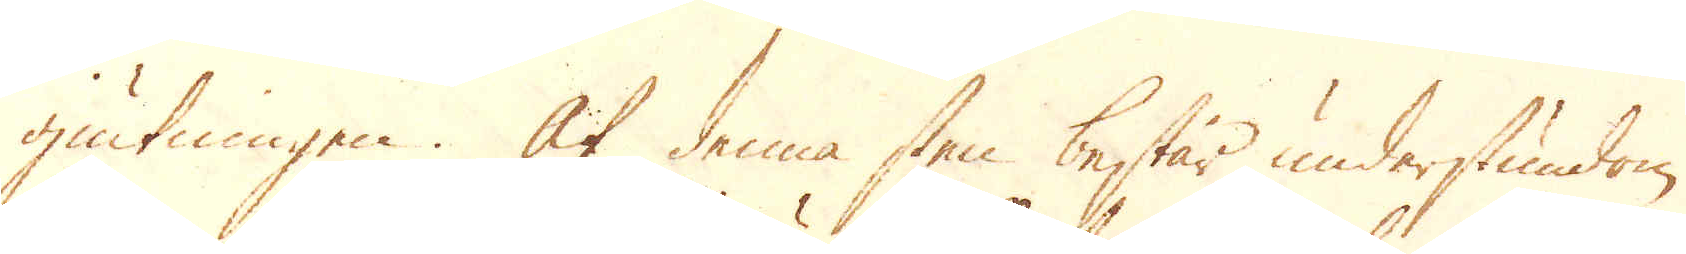giutningen. Af denna sten består understundom
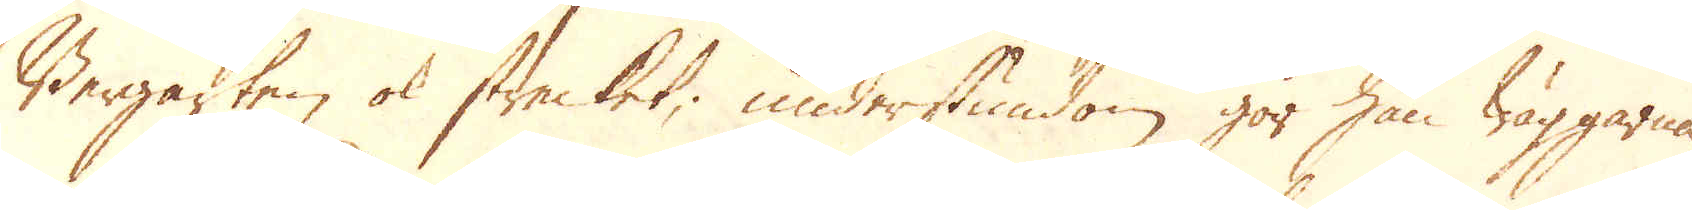Bergarten ok strecket; understundom gör han wäggarna
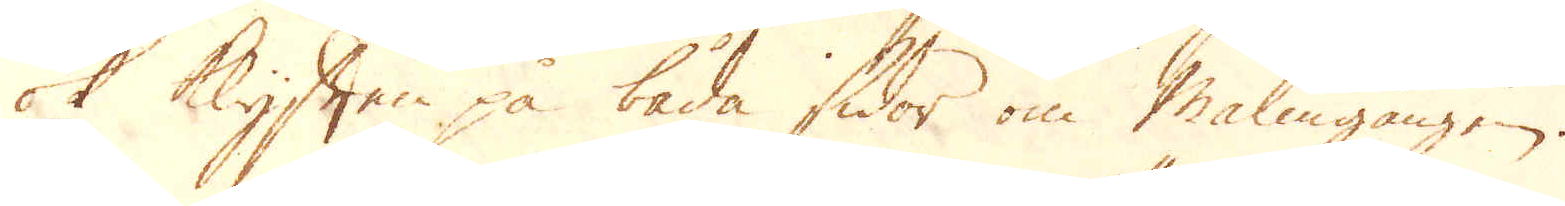ok Klyften på båda sidor om Malmgången.
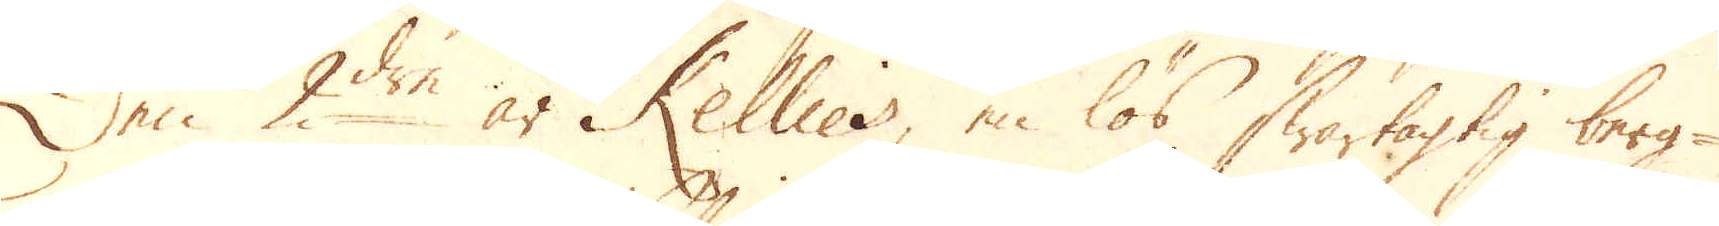Den 2:dra är Kellies, en lös swartagtig berg-
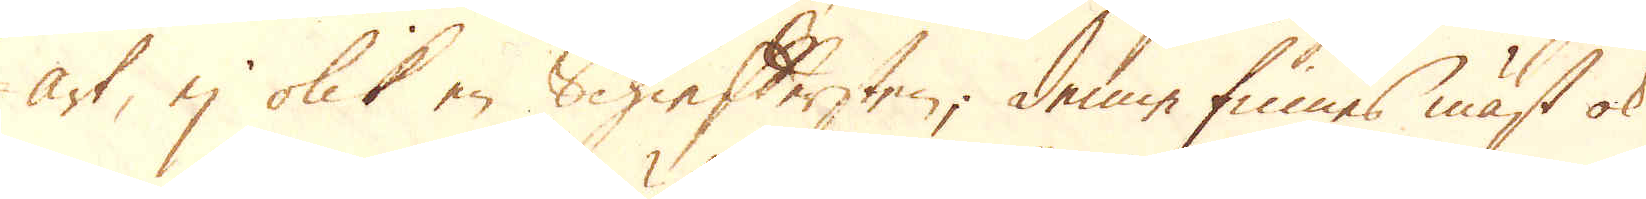art, ej olik en Schieffersten; denne finnes mäst ok
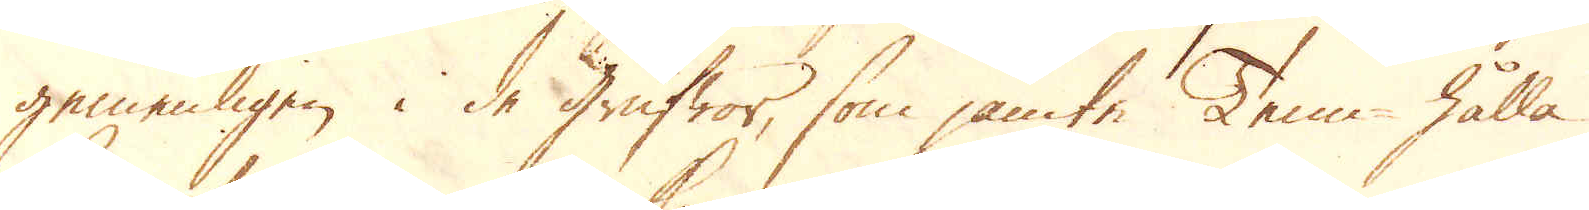gemenligen i de grufwor, som jämte Tenn hålla
